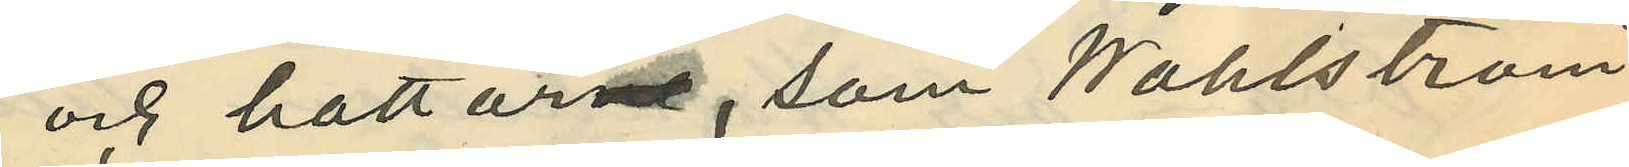och hattar, som Wahlström
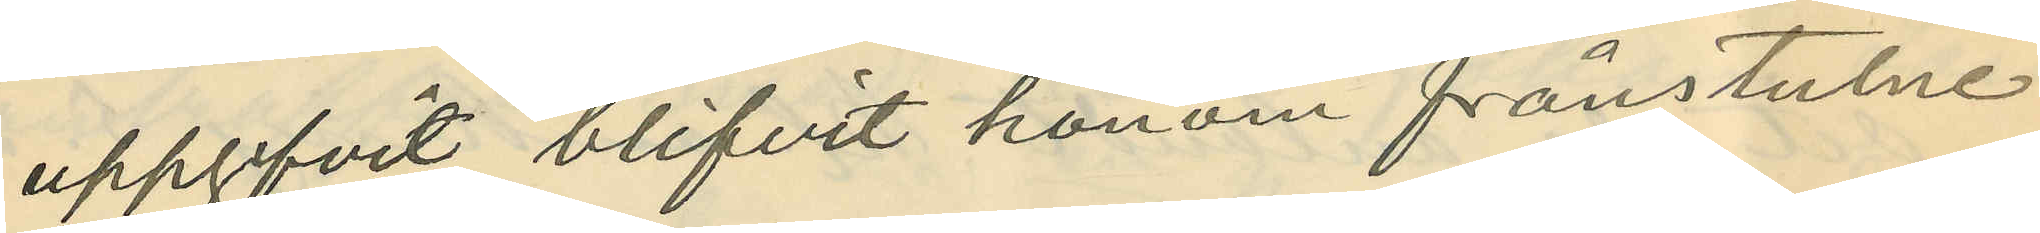uppgifvit blifvit honom frånstulne.
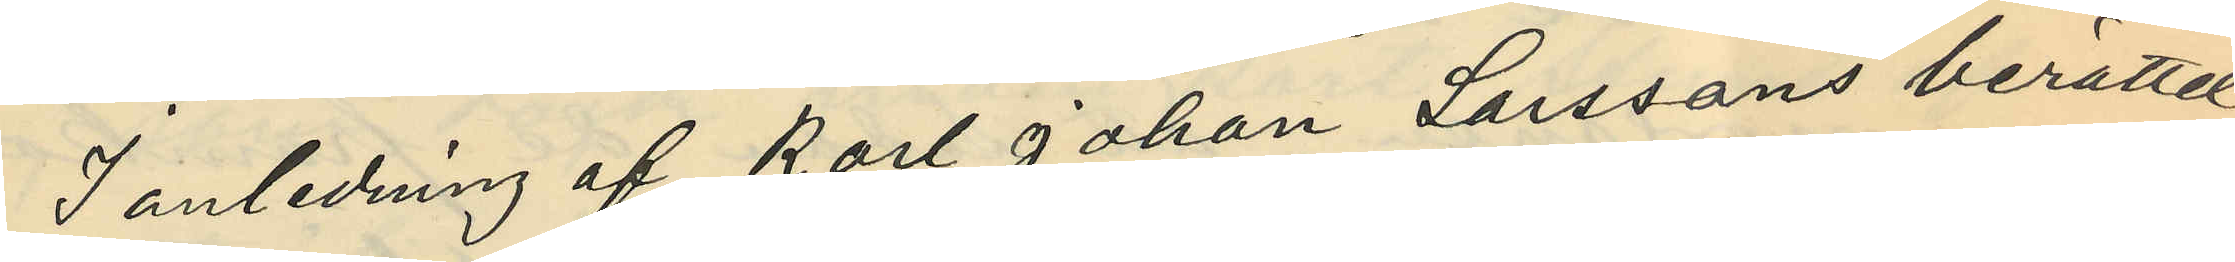I anledning af Karl Johan Larssons berättel¬
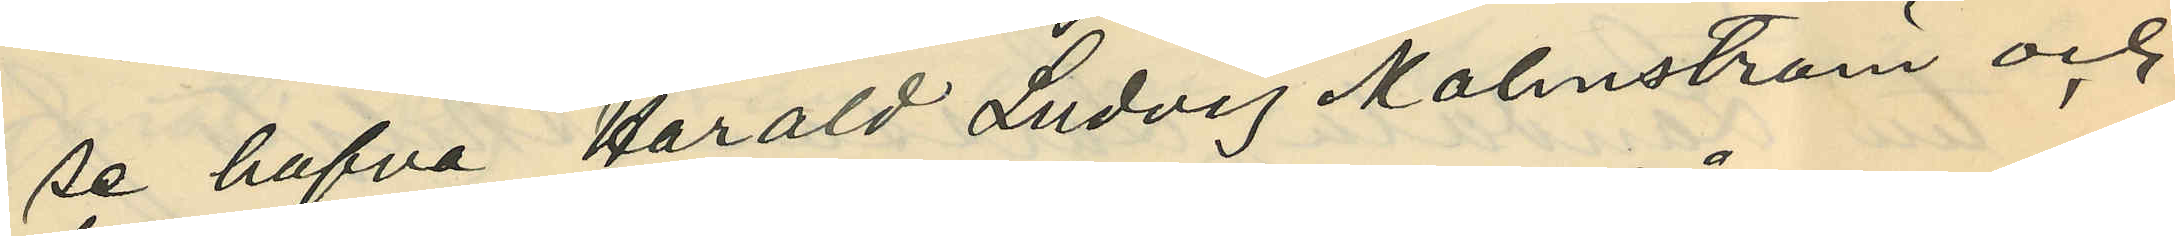se hafva Harald Ludvig Malmström och
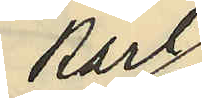Karl
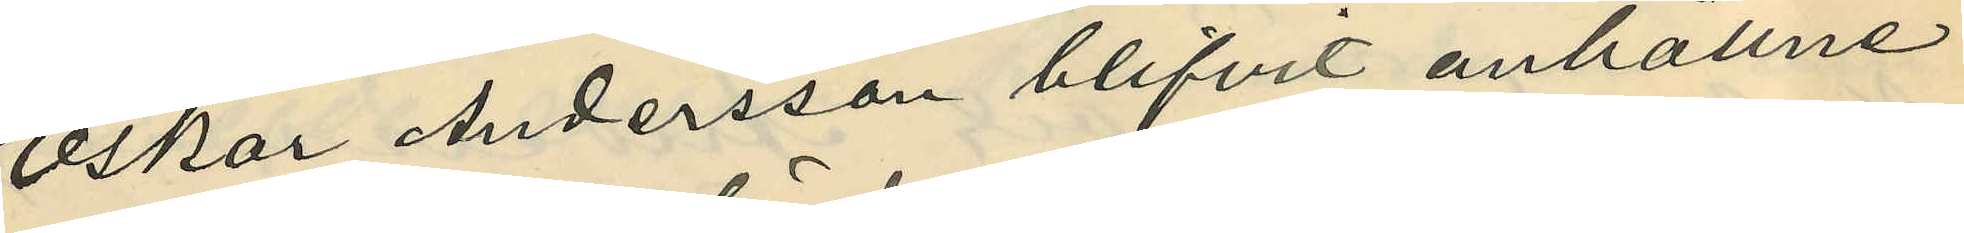Oskar Andersson blifvit anhållne
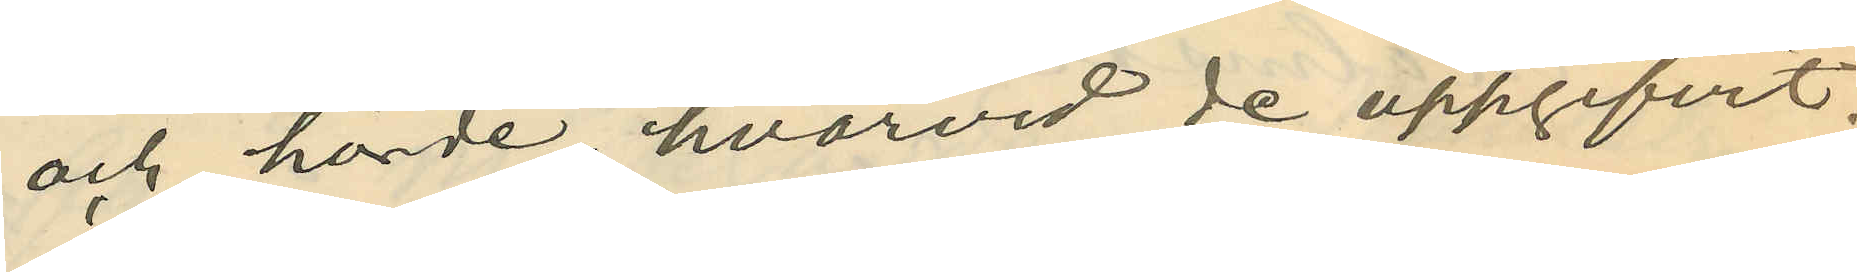och hörde hvarvid de uppgifvit:
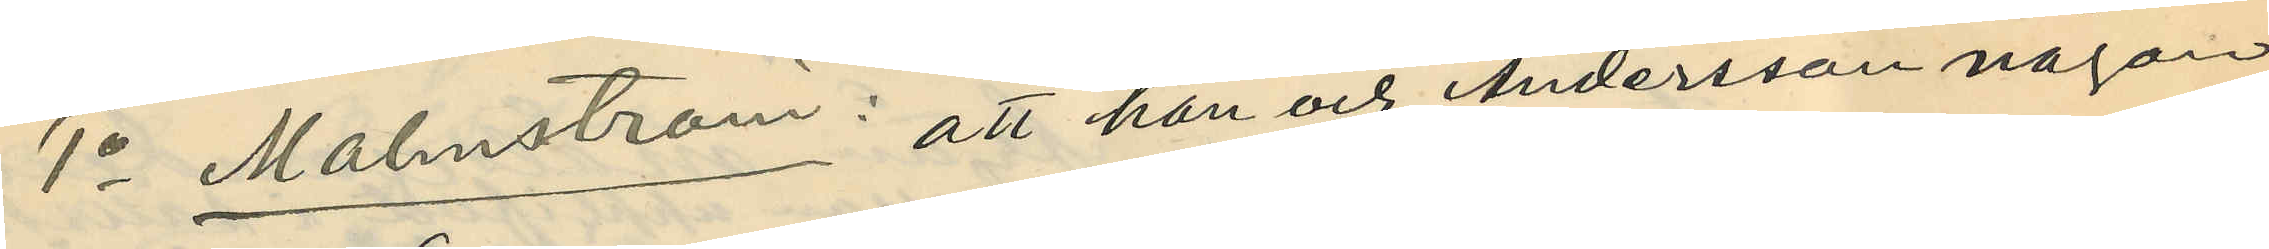1o Malmström: att han och Andersson någon
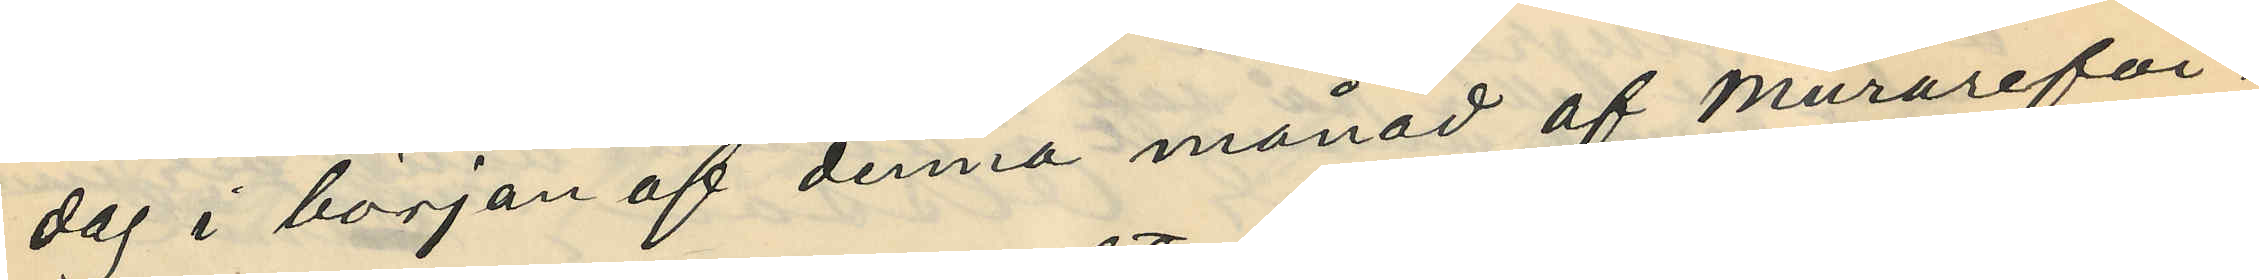dag i början af denna månad af murareför¬
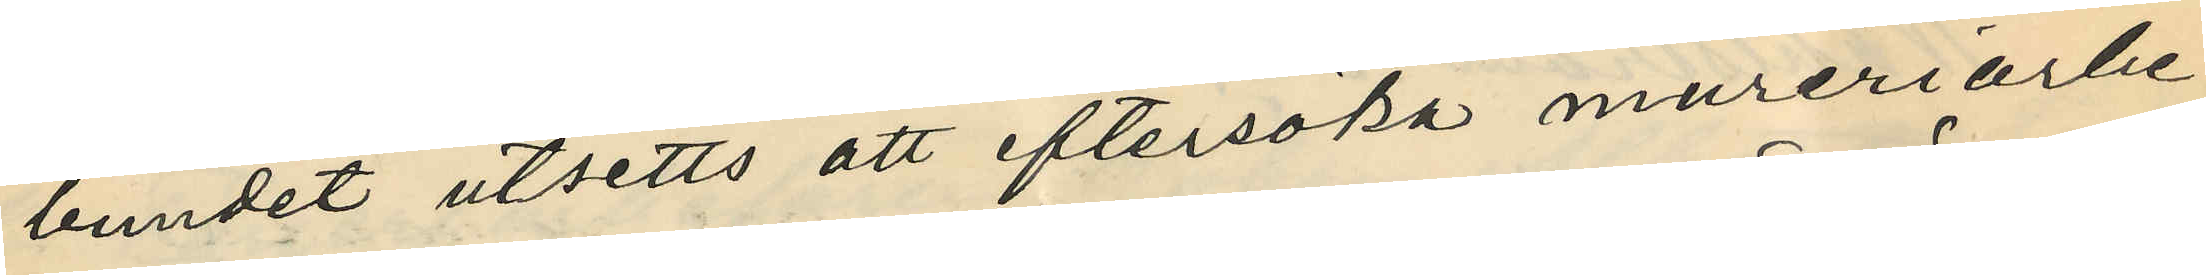bundet utsetts att eftersöka mureriarbe¬
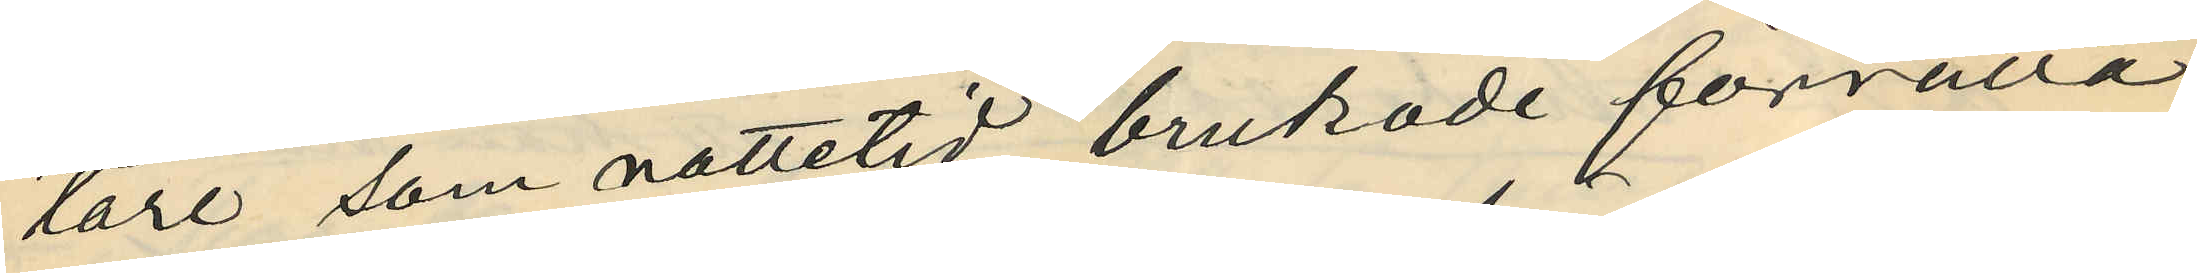tare, som nattetid brukade förrätta
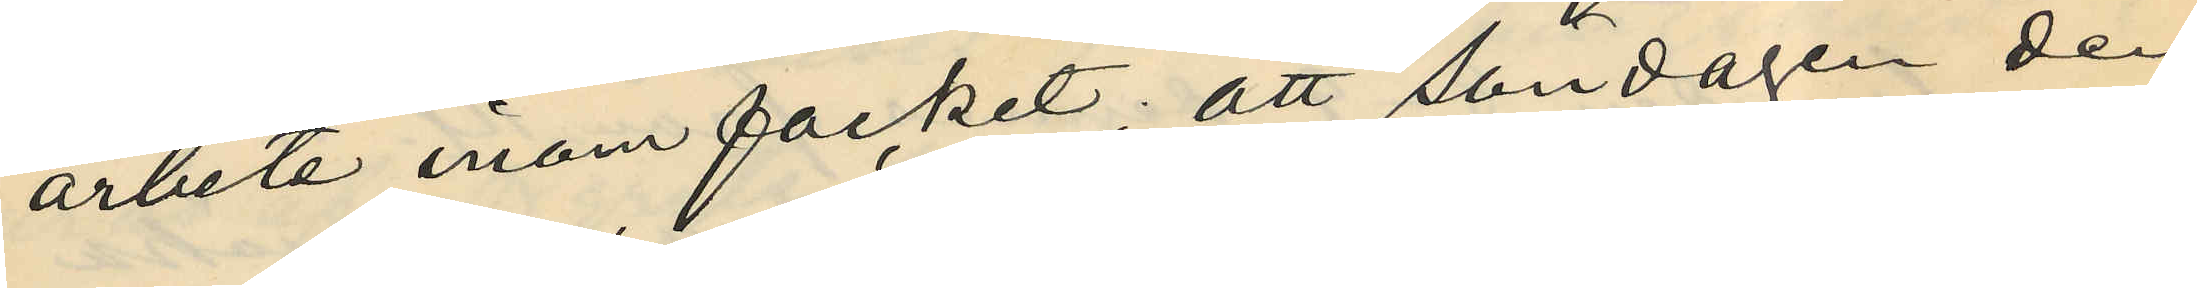arbete inom facket; att söndagen den
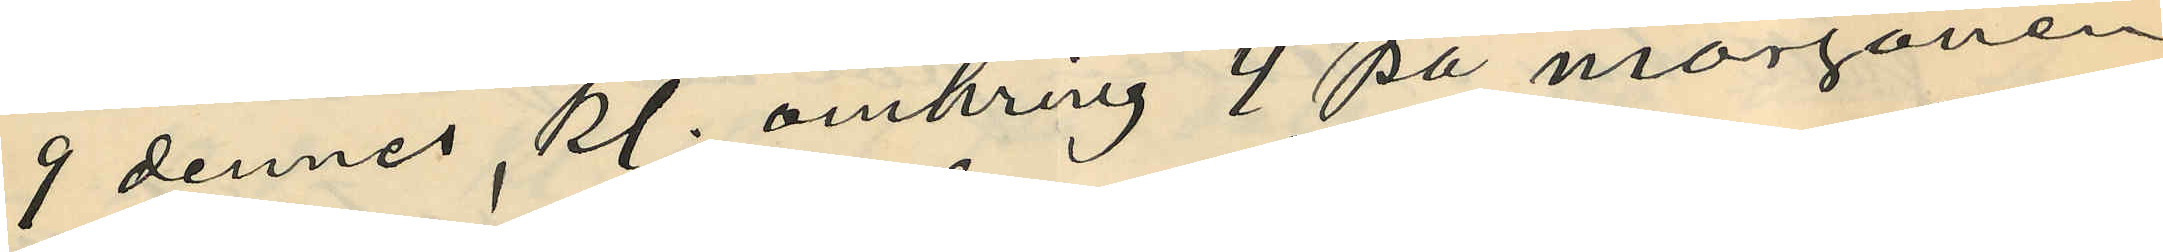9 dennes, kl. omkring 4 på morgonen,
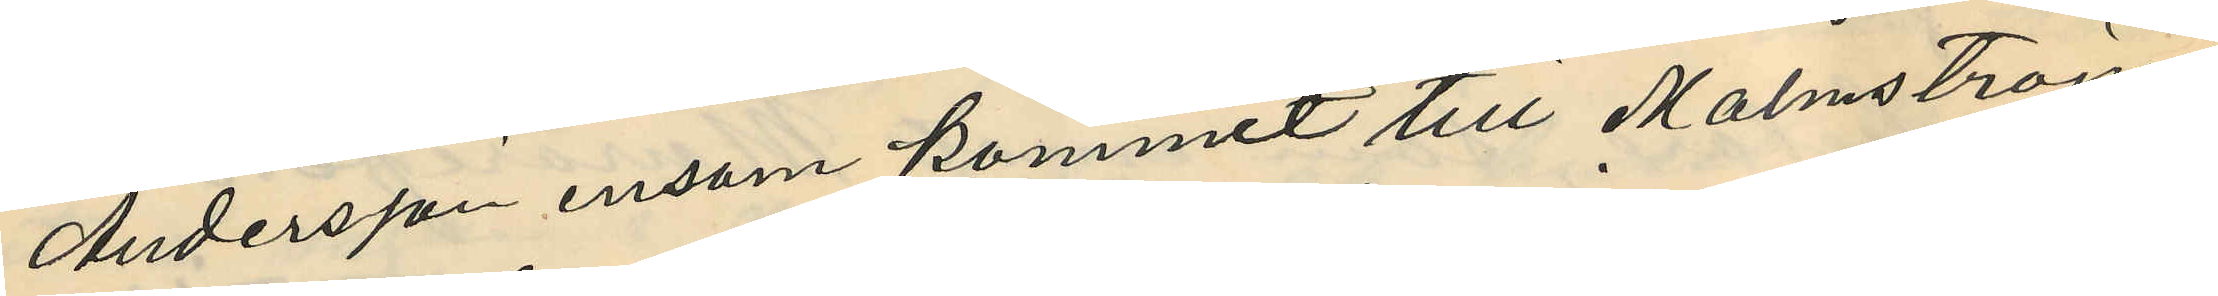Andersson ensam kommit till Malmströms
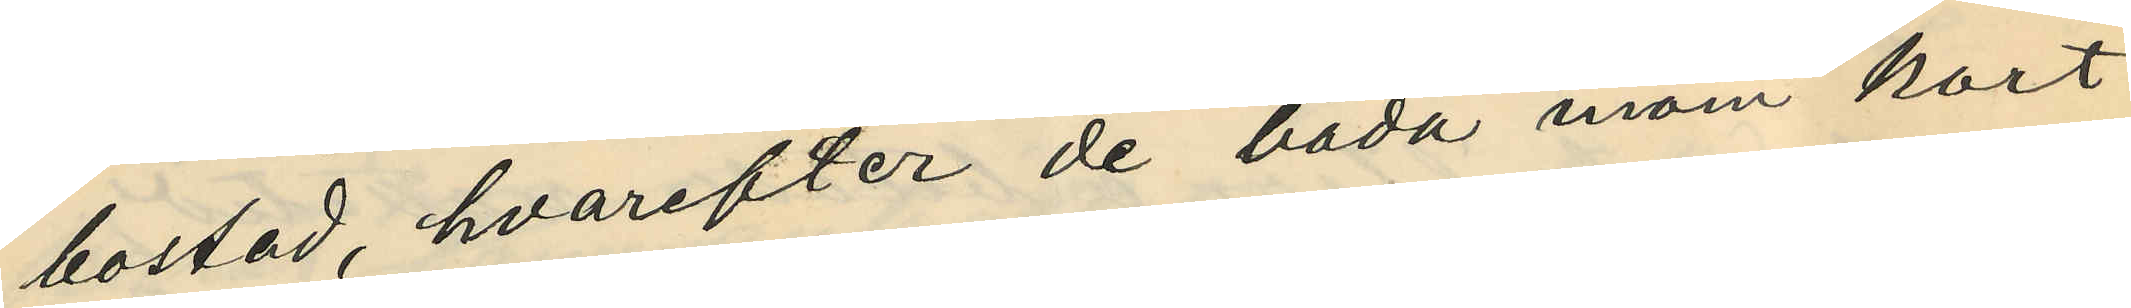bostad, hvarefter de båda inom kort
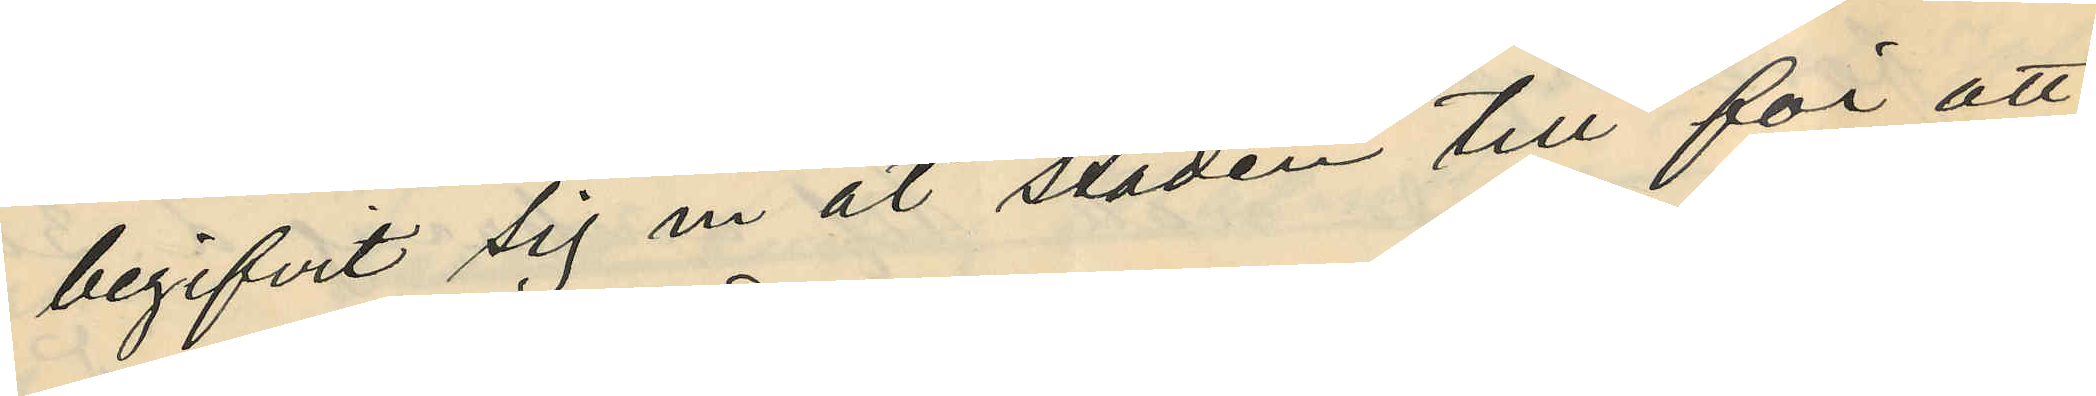begifvit sig in åt staden till för att
